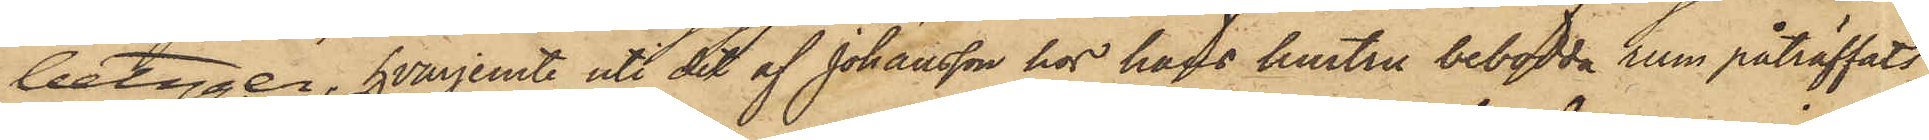betyger, hvarjemte uti det af Johansson hos hans hustru bebodda rum påträffats
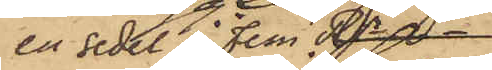en sedel å Fem Rr.
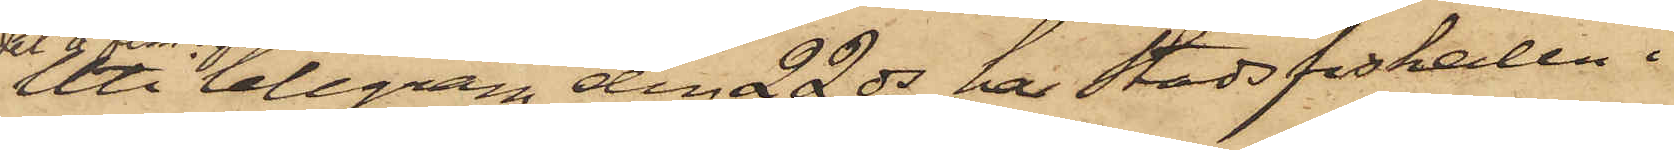Uti telegram den 22 ds har Stadsfiskalen i
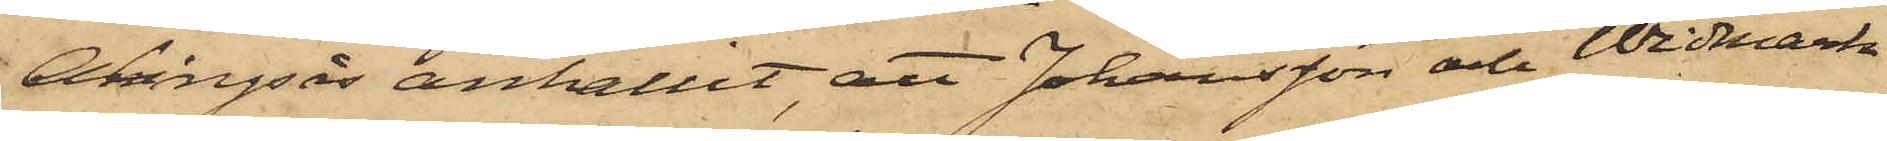Alingsås anhållit, att Johansson och Widmark
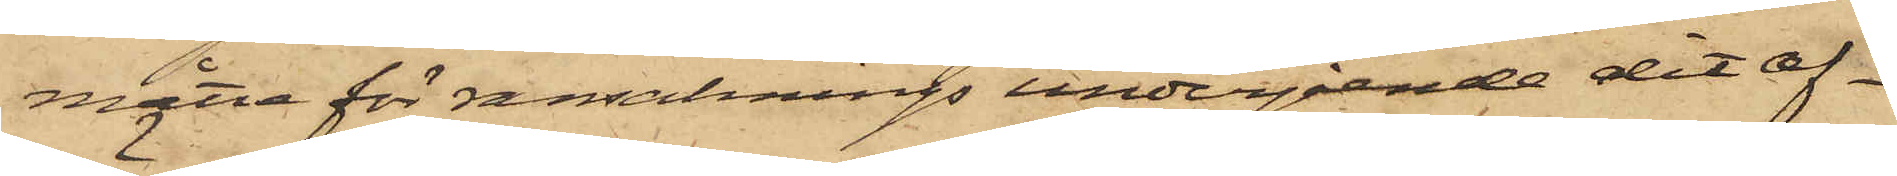måtte för ransaknings undergående dit af¬
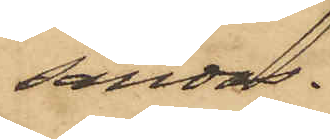sändas.
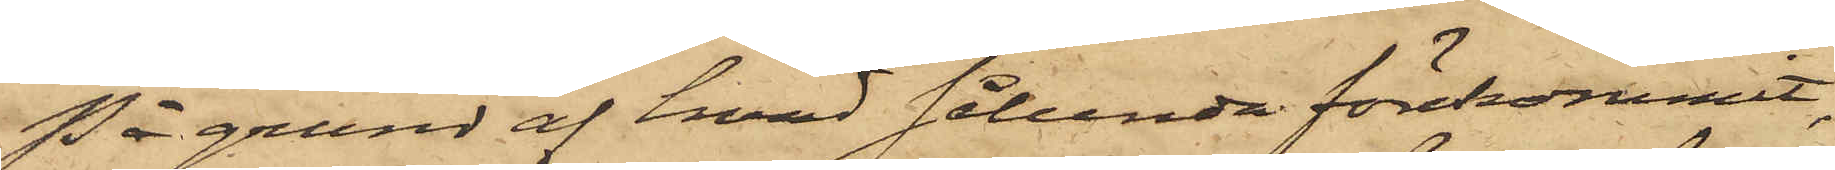På grund af hvad sålunda förekommit,
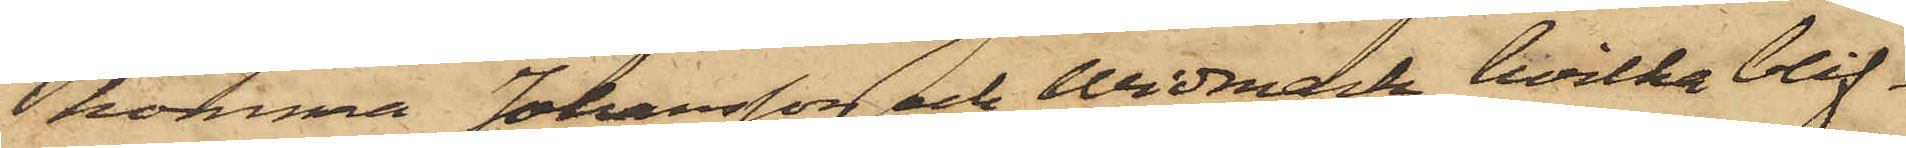komma Johansson och Widmark, hvilka blif¬
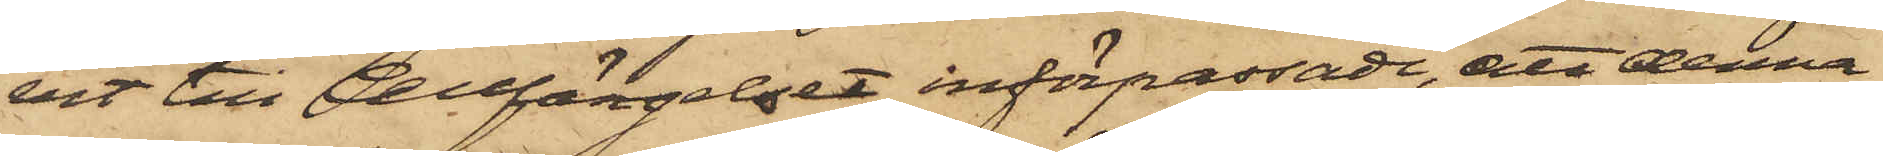vit till Cellfängelset införpassade, att denna
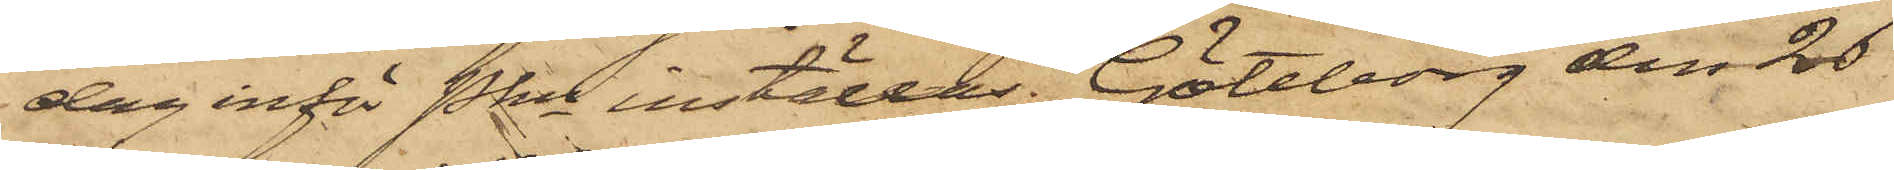dag inför Pkn inställas. Göteborg den 26
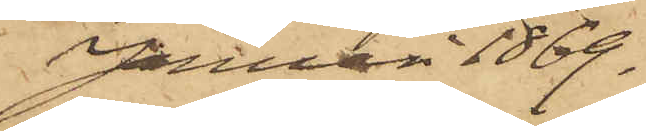Januari 1869.
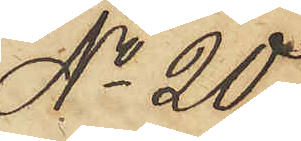No 20
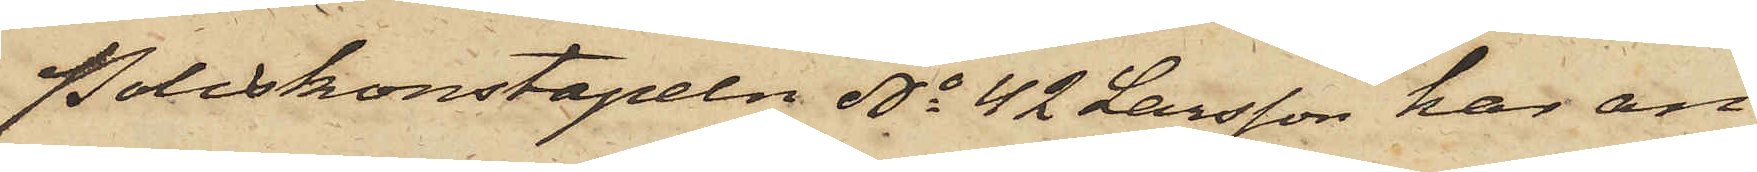Poliskonstapeln No 42 Larsson har an¬
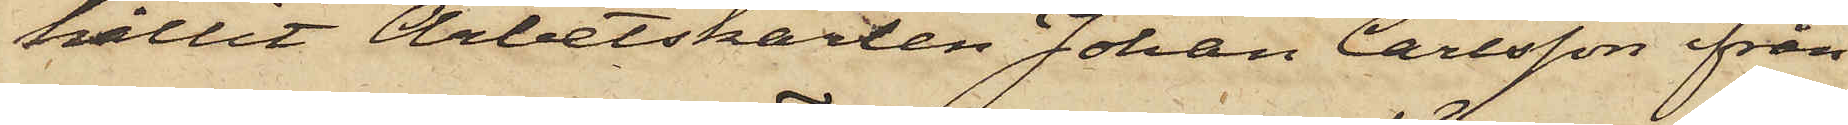hållit Arbetskarlen Johan Carlsson ifrån
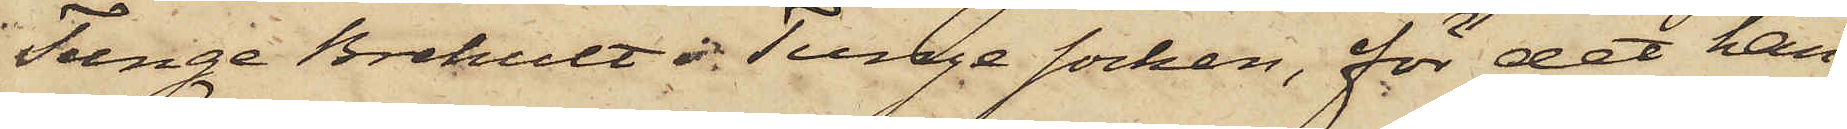Tunge Brehult i Tunge socken, för det han
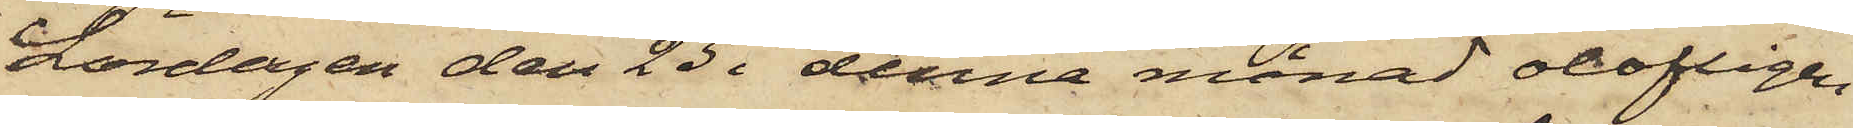Lördagen den 23 i denna månad olofligen
